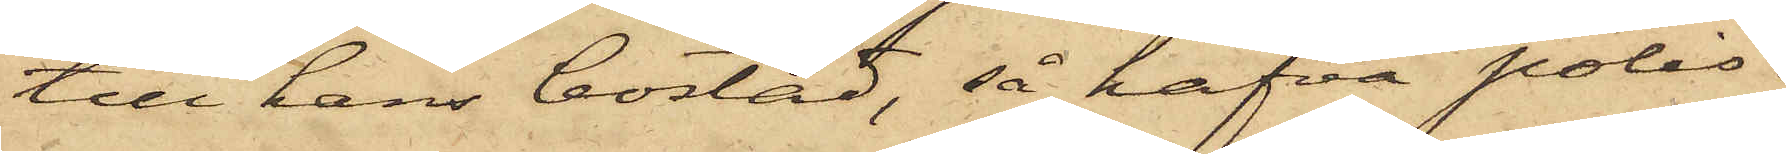till hans bostad, så hafva polis¬
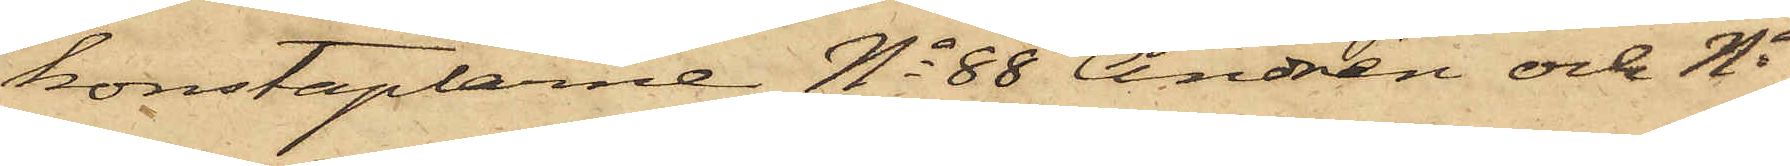konstaplarne No 88 Andrén och No
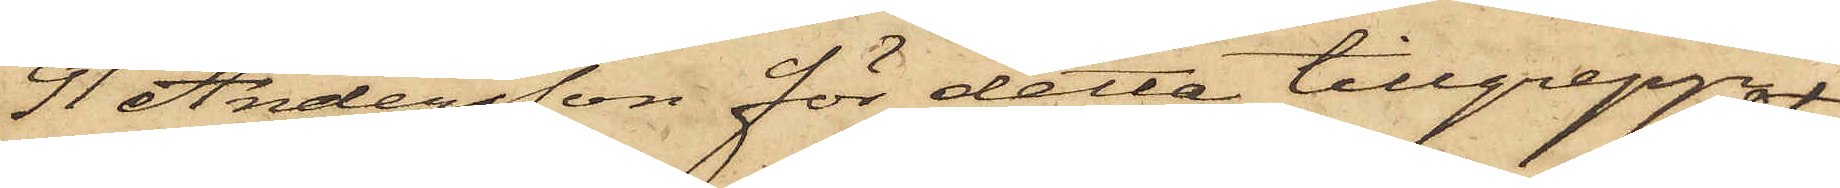91 Andersson för detta tillgrepp
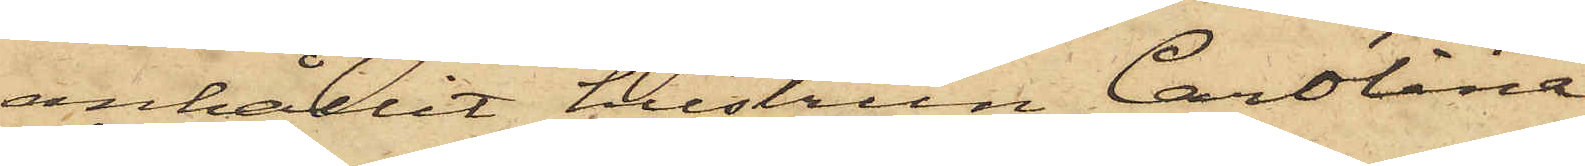anhållit hustrun Carolina
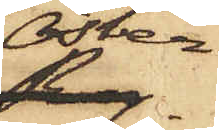Öster¬
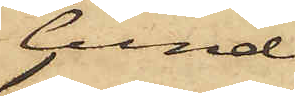lund
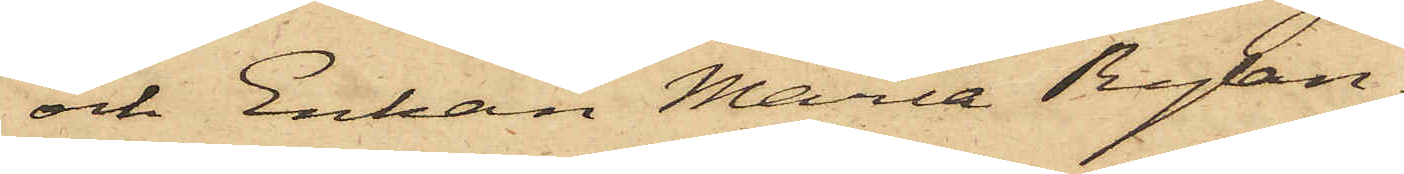och Enkan Maria Rylan¬
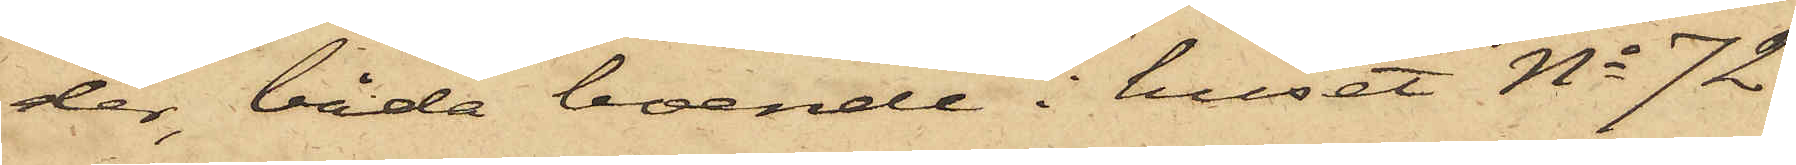der, båda boende i huset No 72
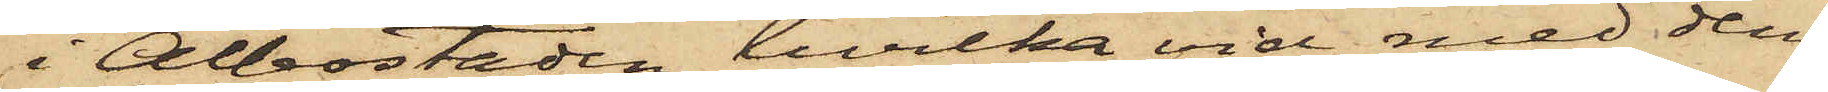i Albostaden, hvilka vid med dem
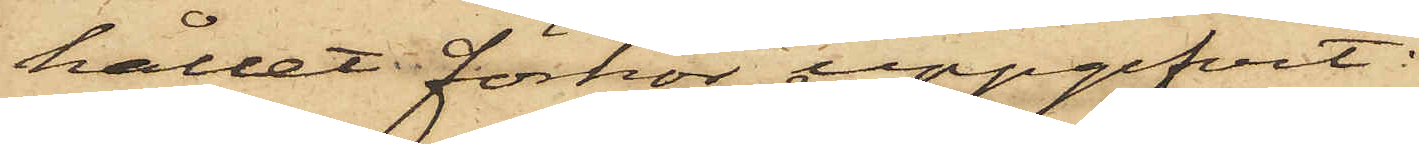hållet förhör upgifvit:
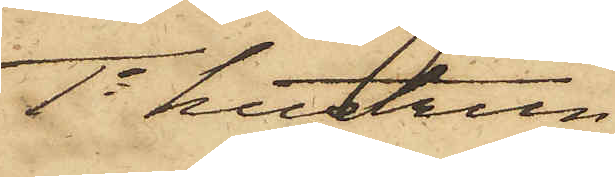1o hustrun
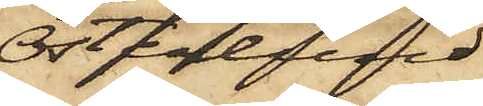Österlund,
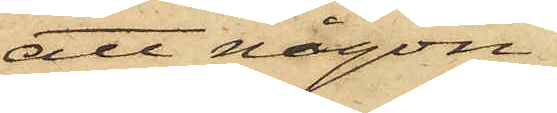att någon
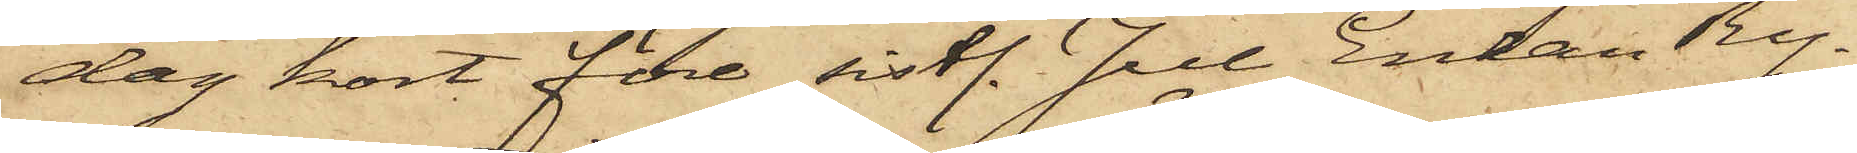dag kort före sistl. Jul Enkan Ry¬
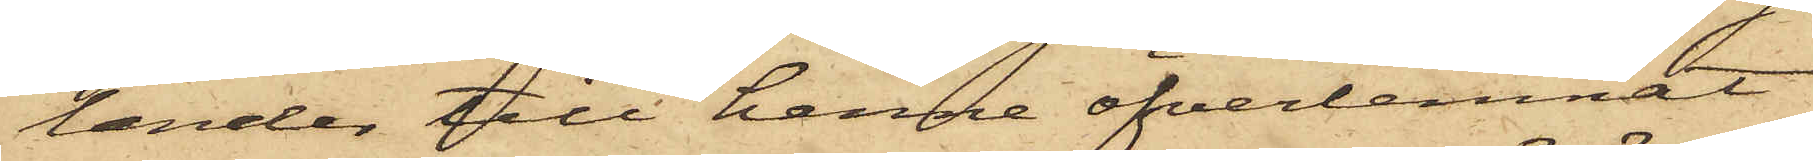lander till henne öfverlemnat
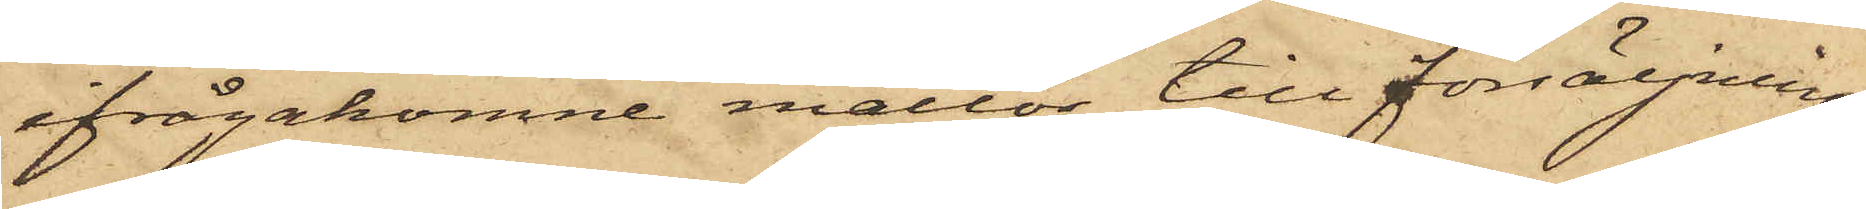ifrågakomne mattor till försäljning;
